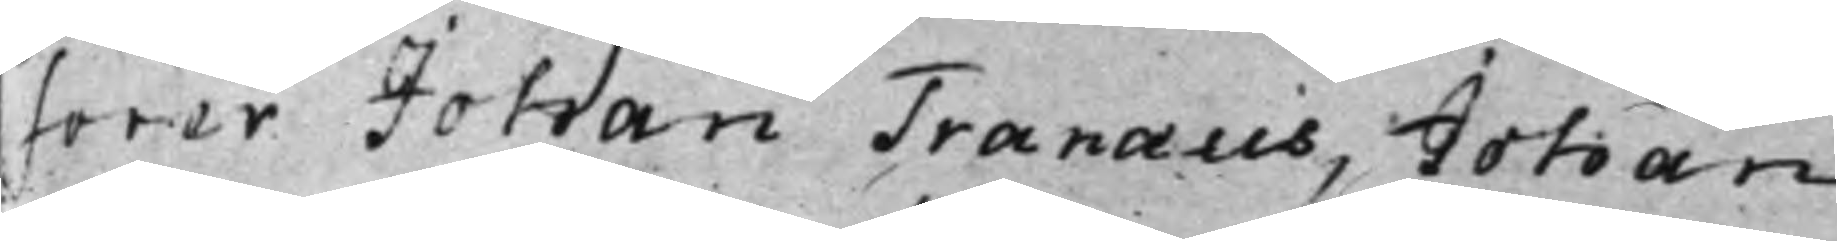sorer Johan Tranæus, Johan
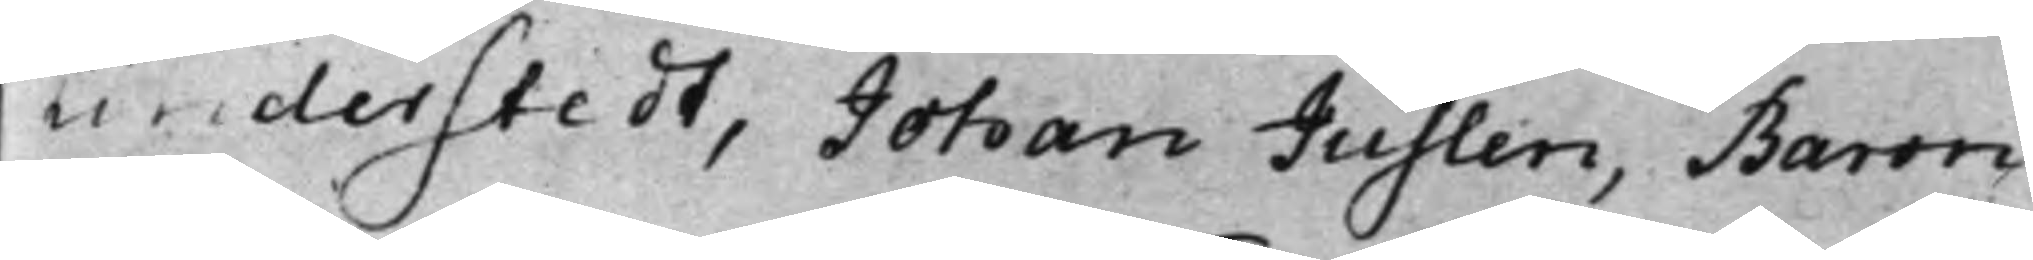Linderstedt, Johan Juslen, Baron
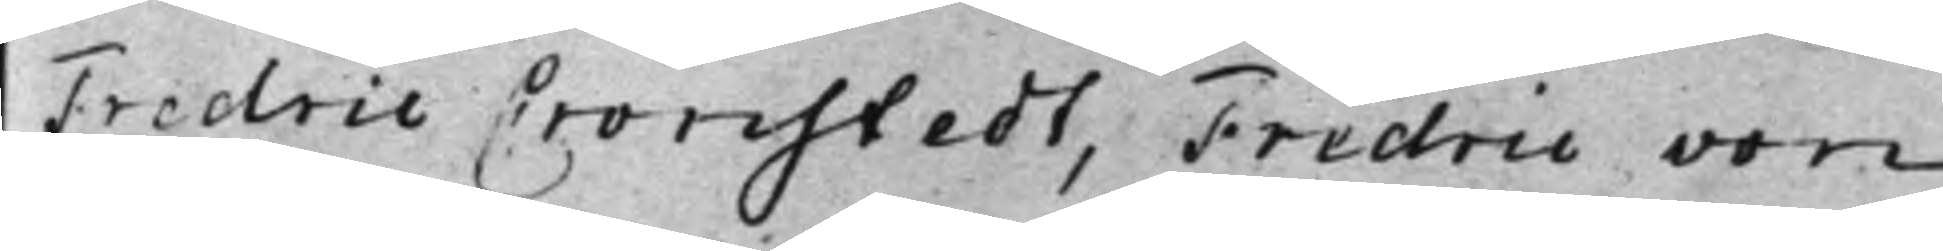Fredric Cronstedt, Fredric von
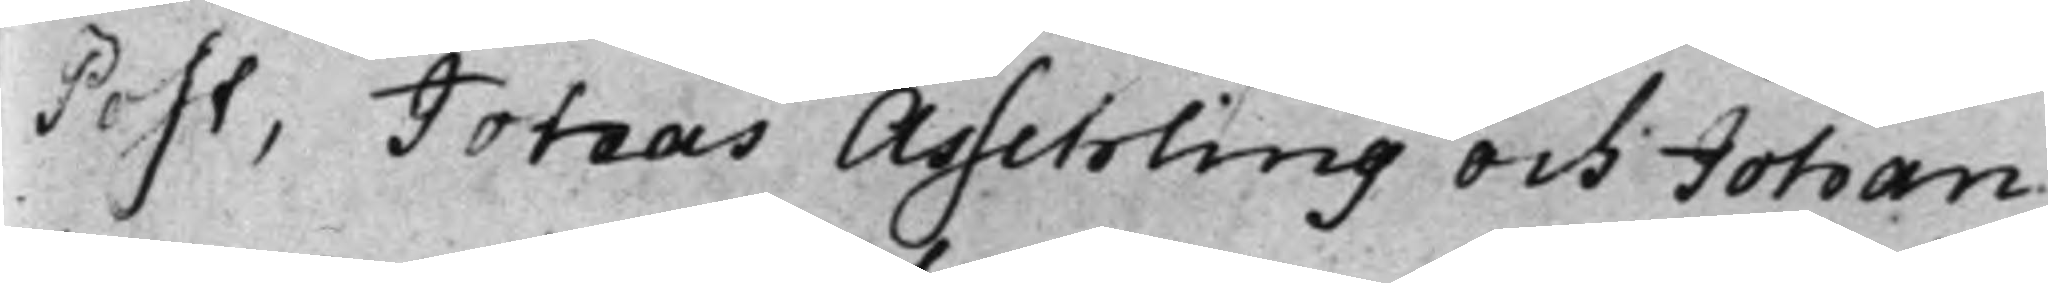Post, Jonas Asschling och Johan
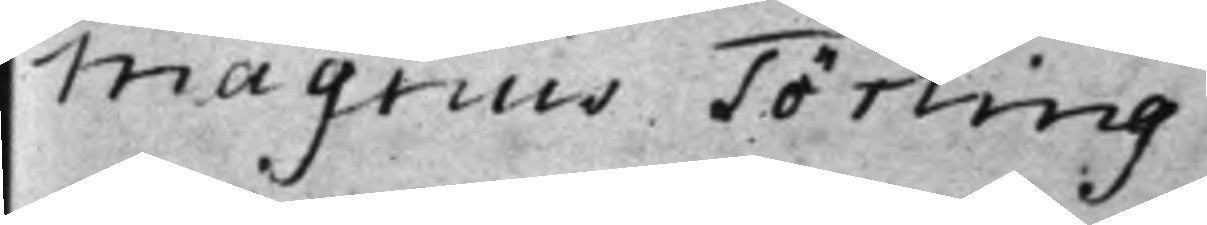Magnus Törling.
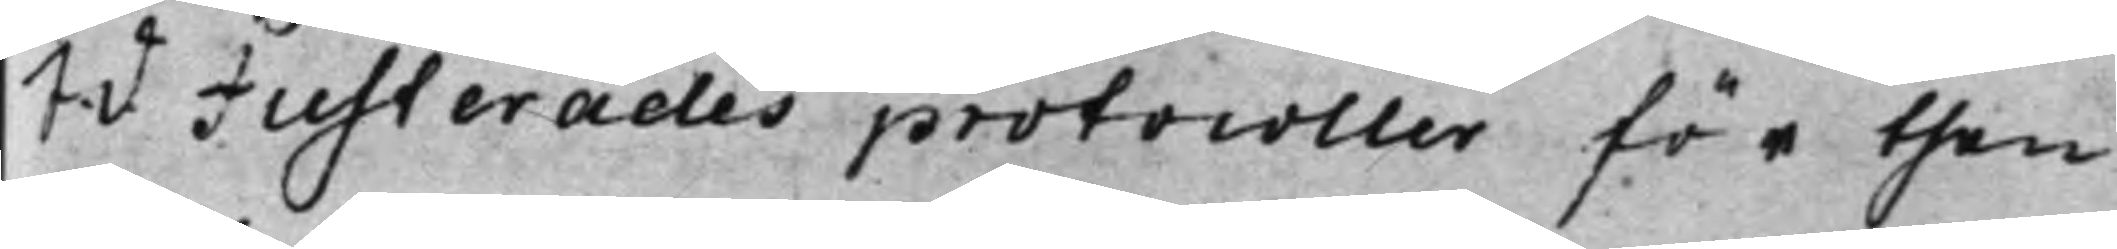S. d. Justerades protocoller för then
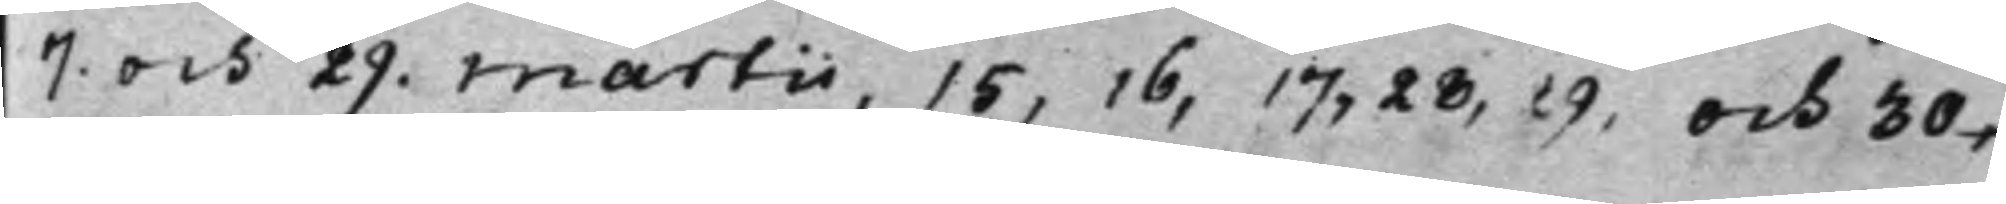7. och 29. Martii, 15, 16, 17, 28, 29, och 30,
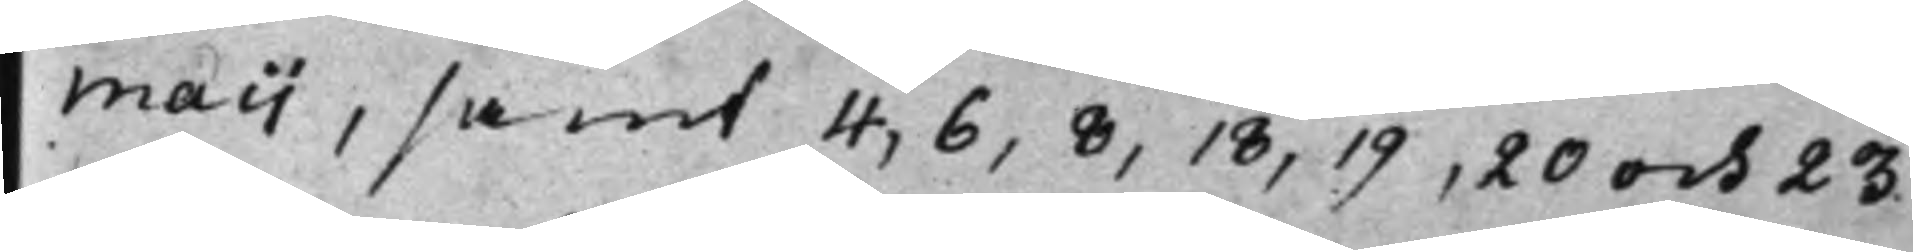Maij, samt 4, 6, 8, 18, 19, 20 och 23
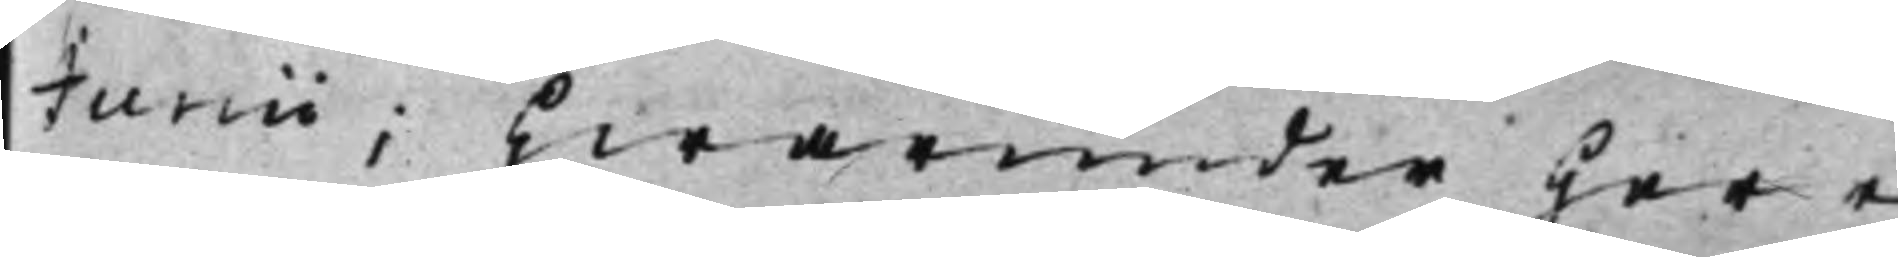Junii; Hwarunder Herr
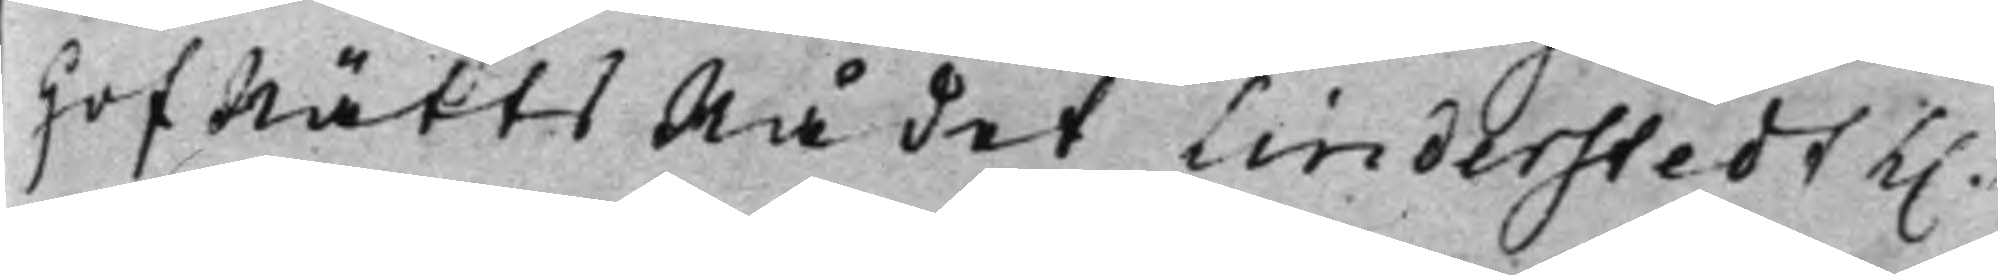HofRättsRådet Linderstedt K.
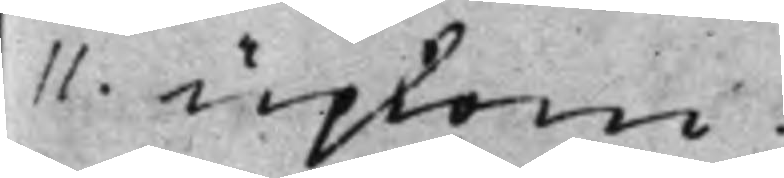11 upkom.
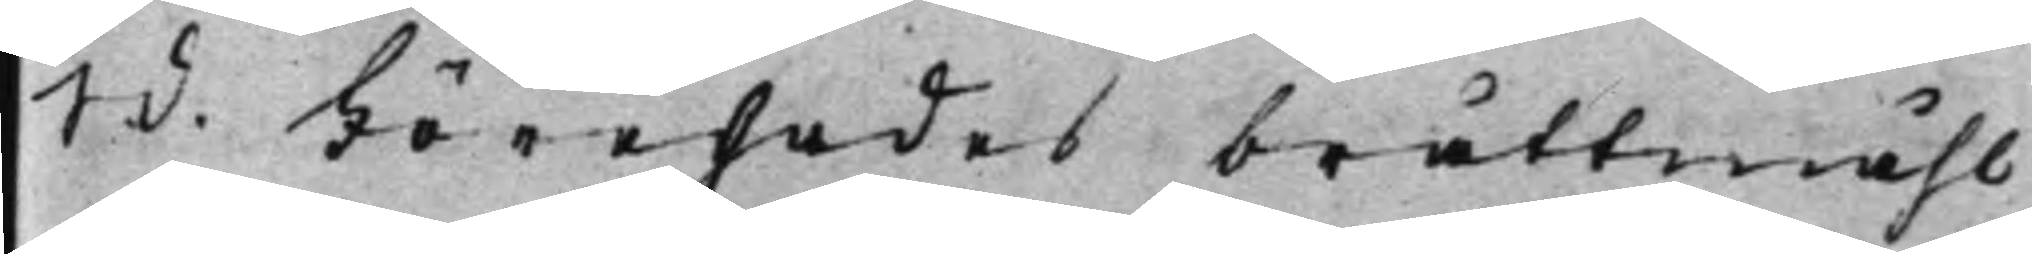S. d. Förehades bråttmåhl
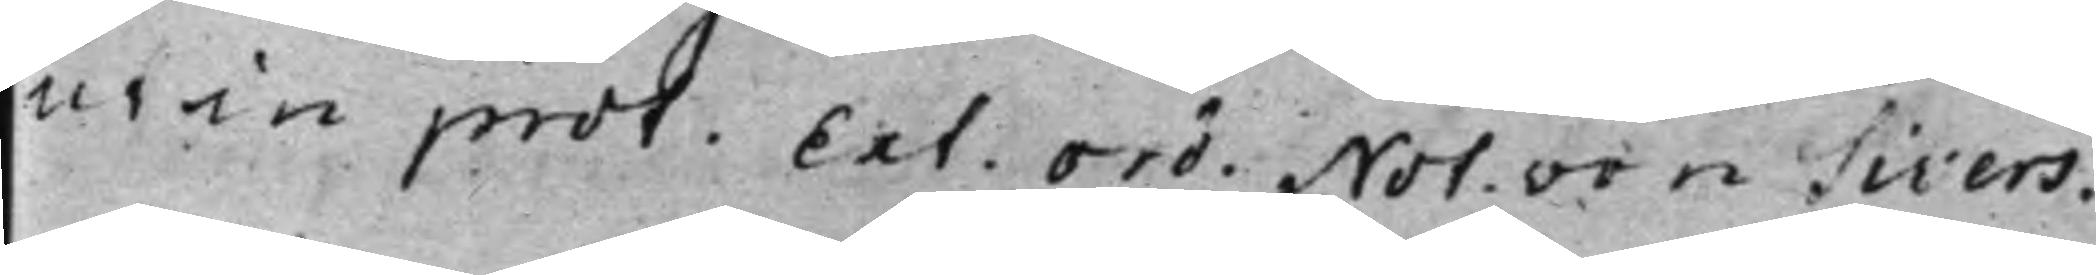ut in prot. Ext. Ord. Not. von Sivers.
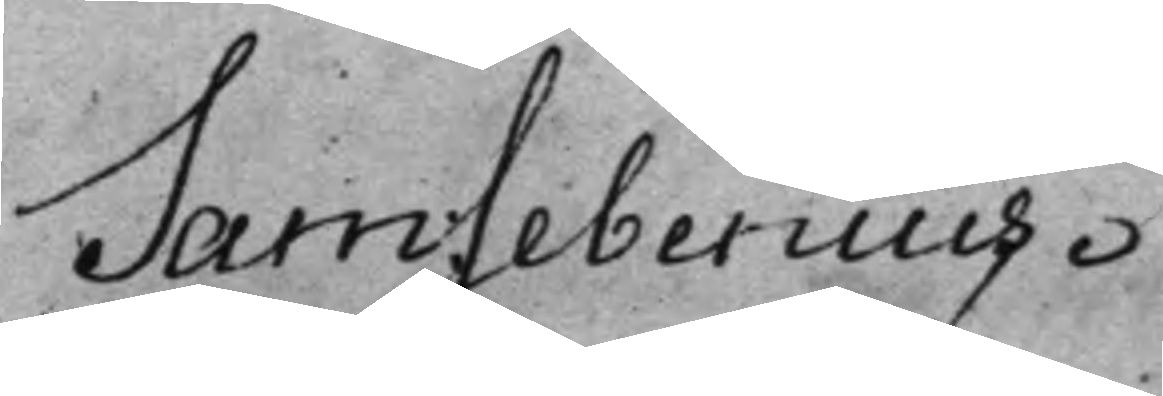Sam: Sebenius.
